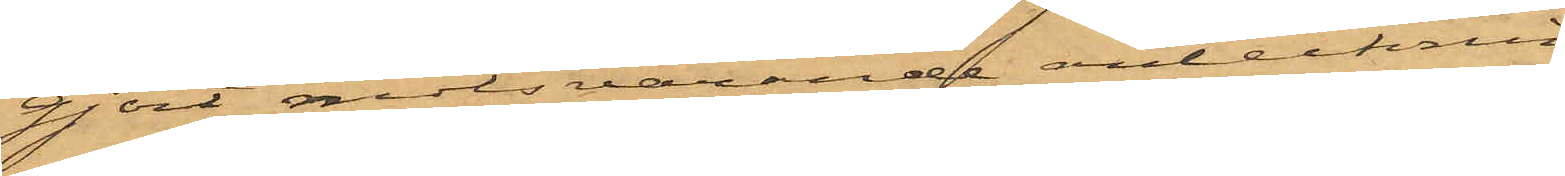gjort motsvarande antecknin¬
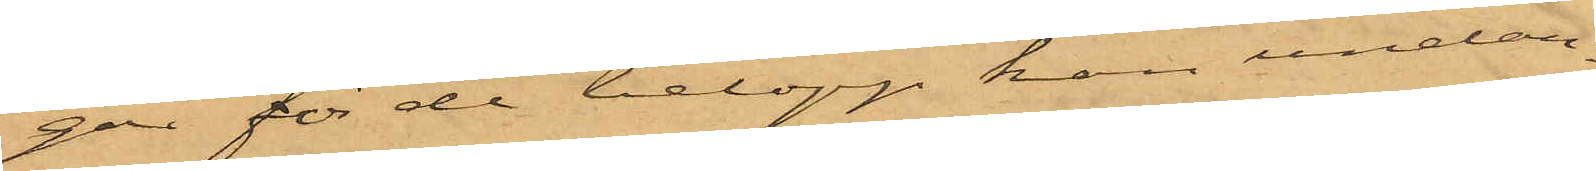gar för de belopp han undan¬
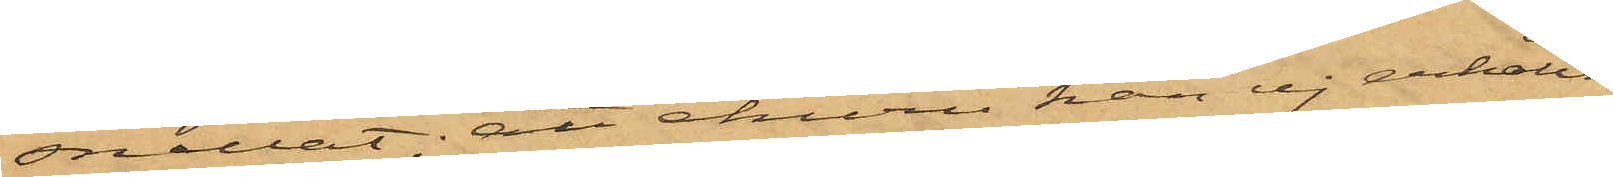hållit; att ehuru han ej erhållit
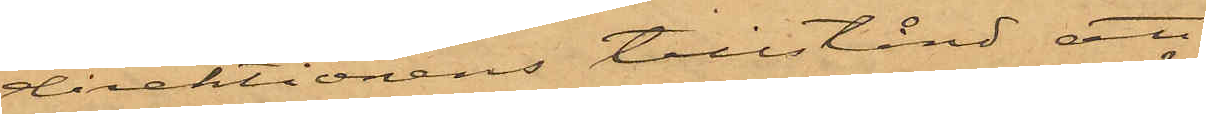direktionens tillstånd att,
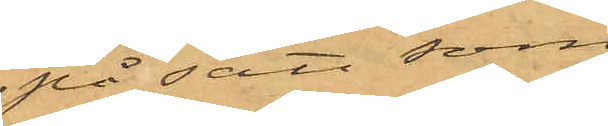på sätt som
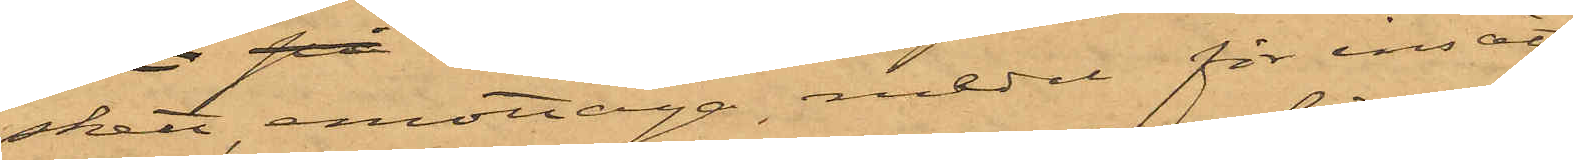skett, emottaga medel för insätt¬
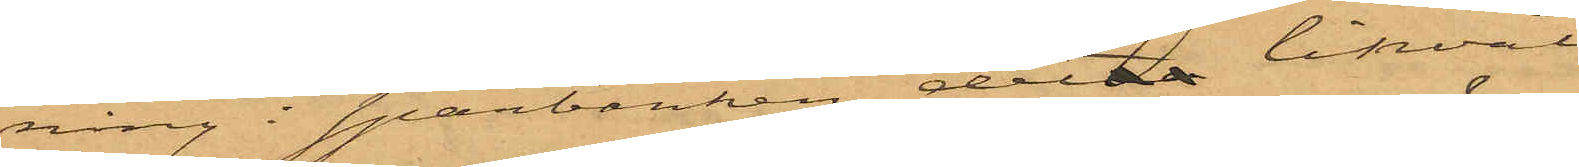ning i Sparbanken, detta likväl
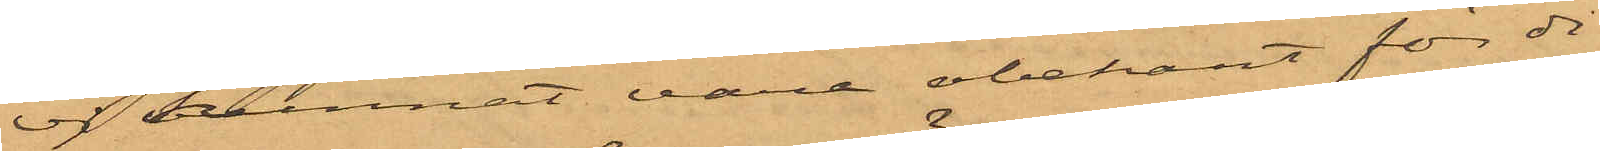ej kunnat vara obekant för di¬
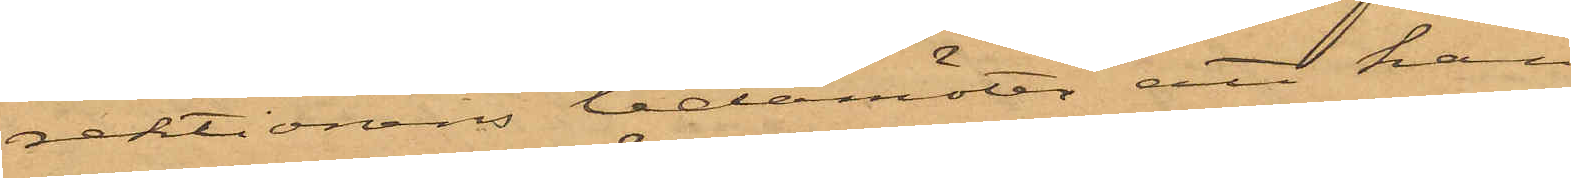rektionens ledamöter att han
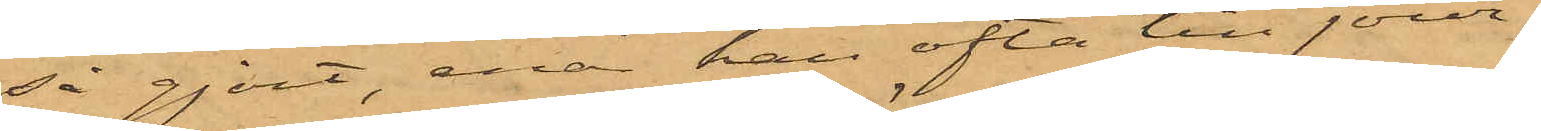så gjort, enär han ofta till jourha¬
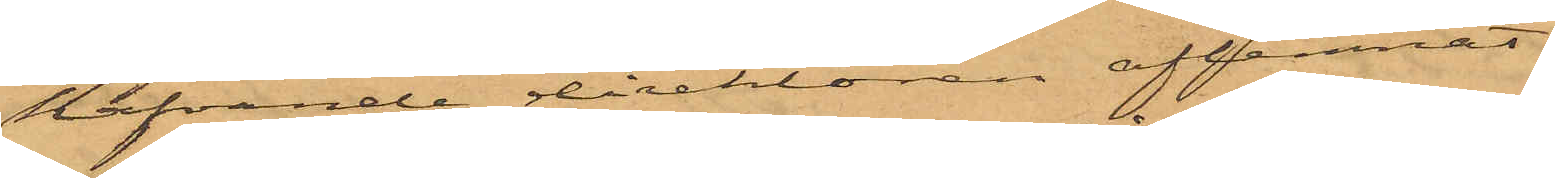hafvande direktören aflemnat
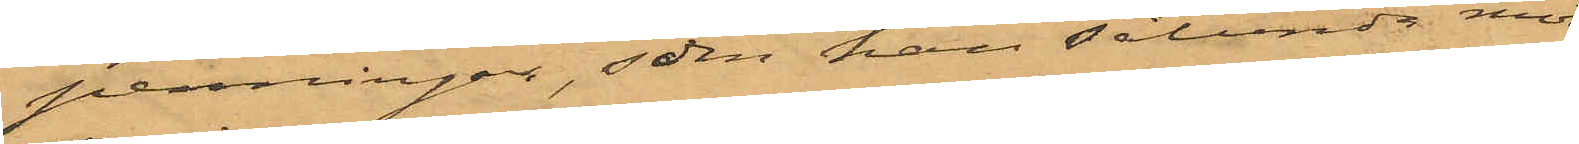penningar, som han sålunda mot¬
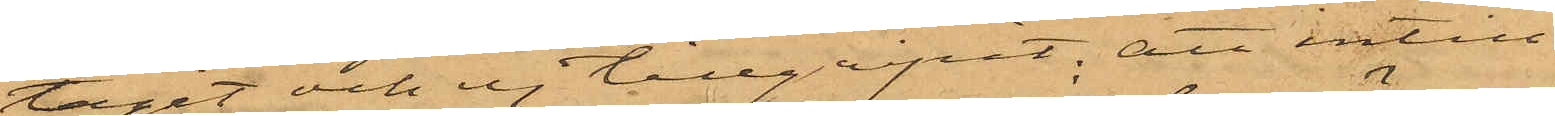tagit och ej tillgripit; att intill
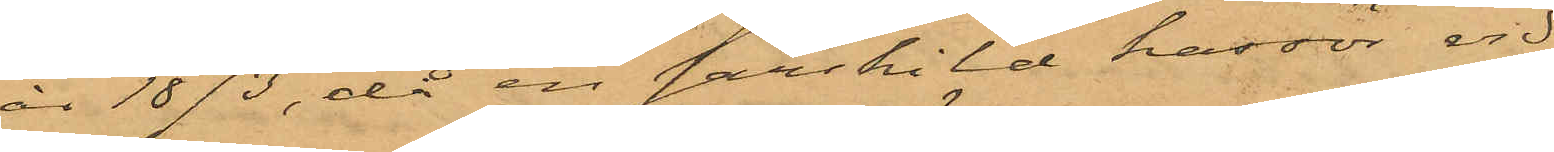år 1873, då en särskild kassör vid
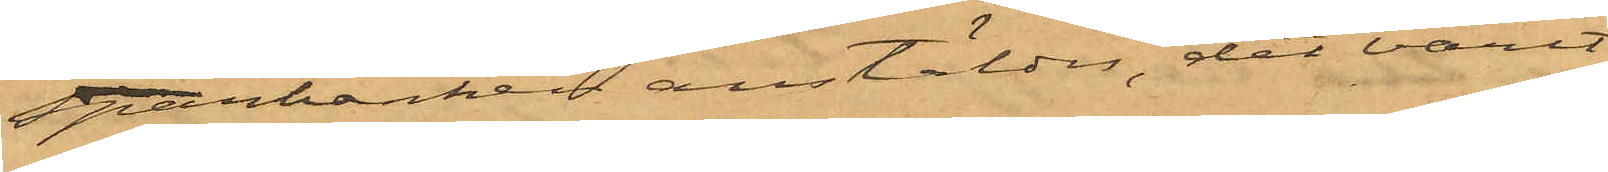Sparbarken anstäldes, det varit
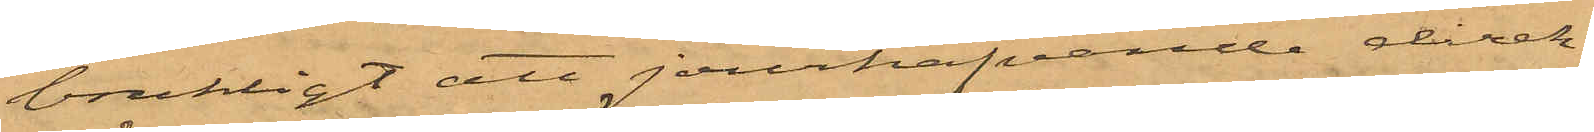brukligt att jourhafvande direk¬
